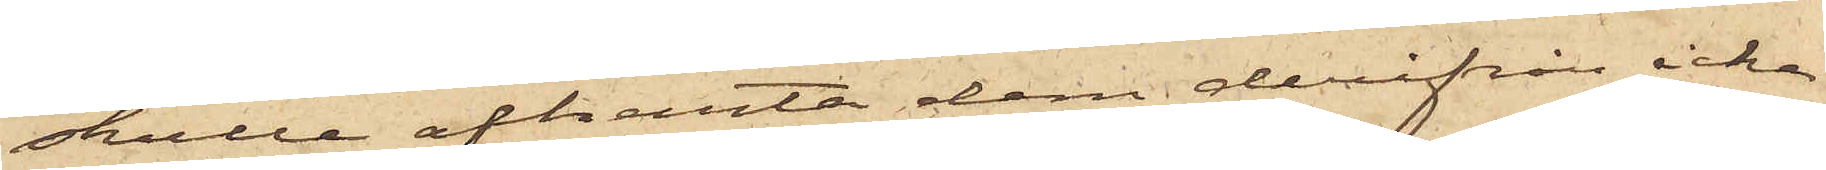skulle afhämta dem derifrån icke
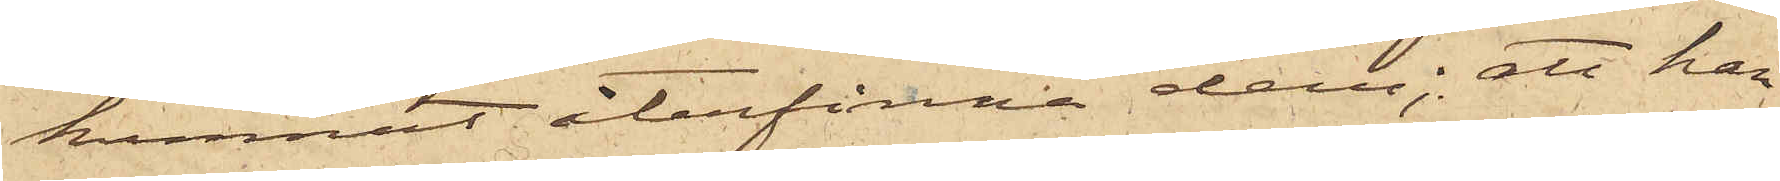kunnat återfinna dem; att han
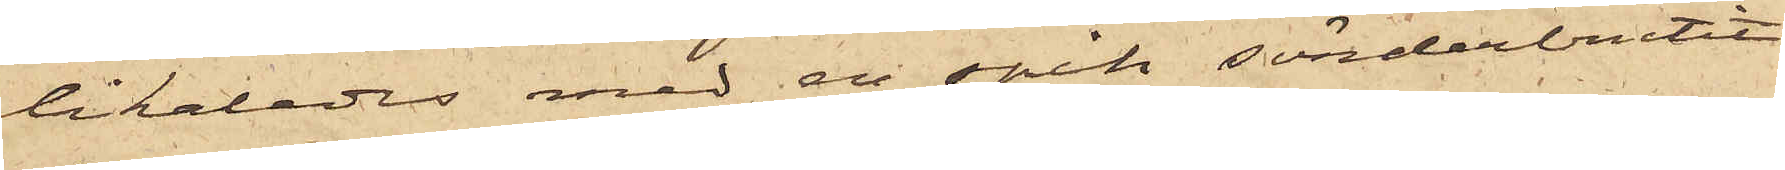likaledes med en spik sönderbrutit
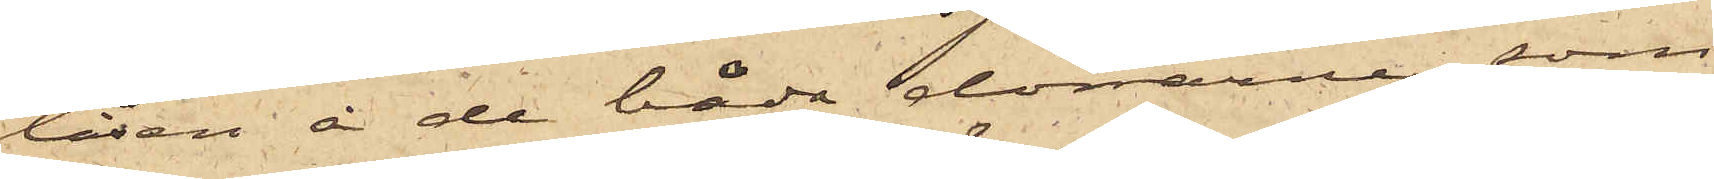låsen å de båda dörrarna, som
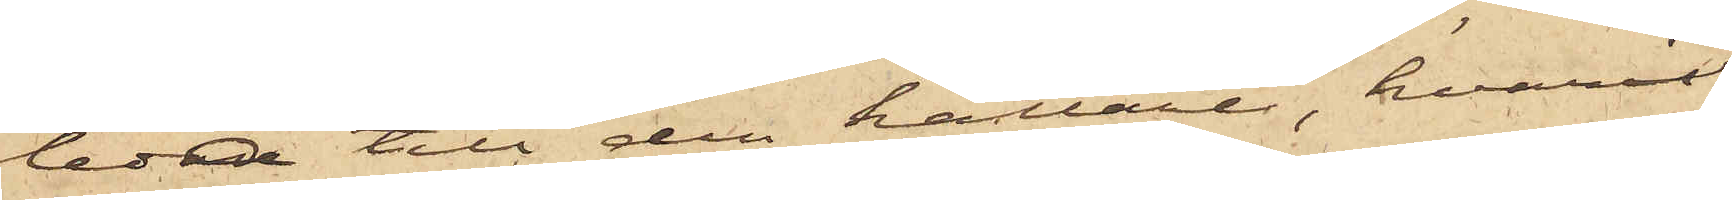ledde till den källare, hvari
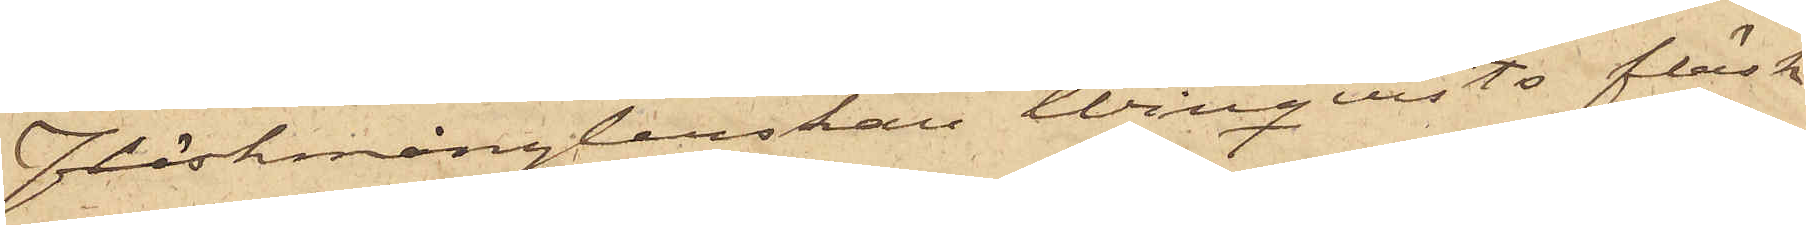Fläskmånglerskan Winqvists fläsk
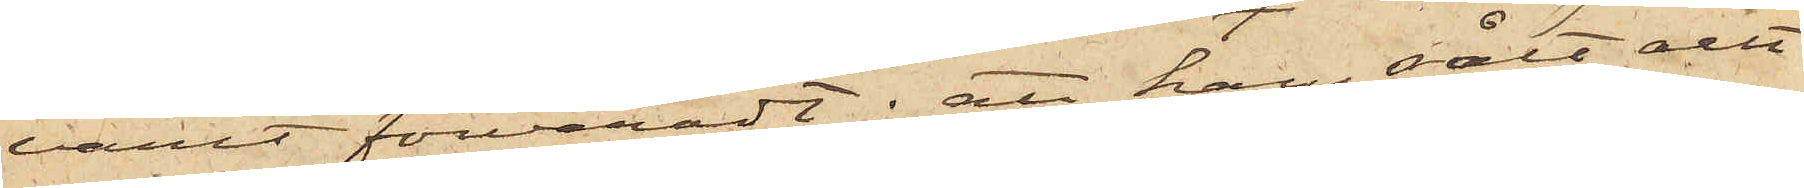varit förvaradt; att han sålt allt
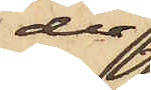der
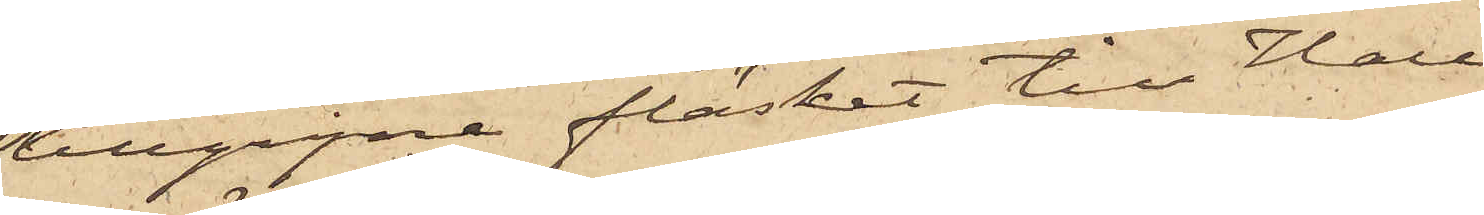tillgripne fläsket till Hall
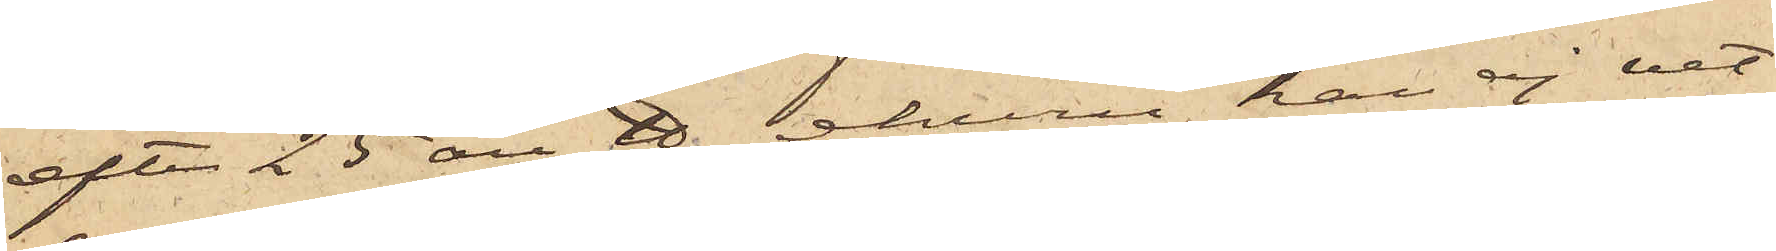efter 25 öre ℔, ehuru han ej vet
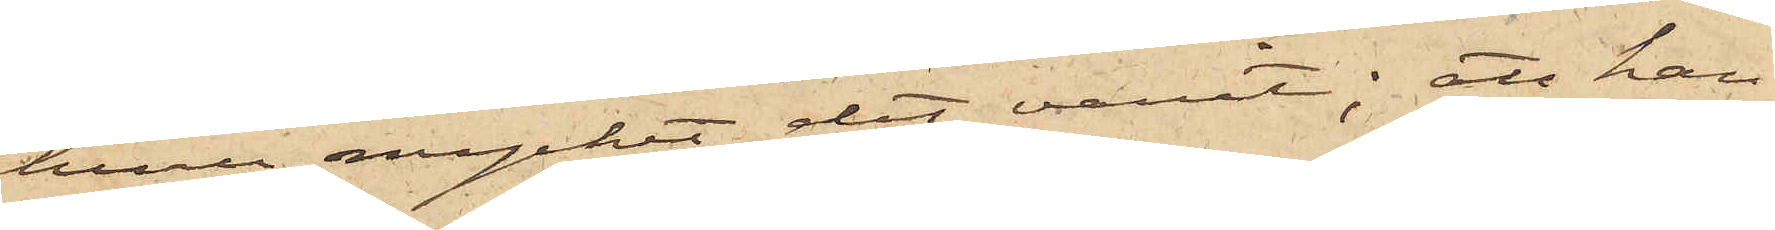huru mycket det varit; att han
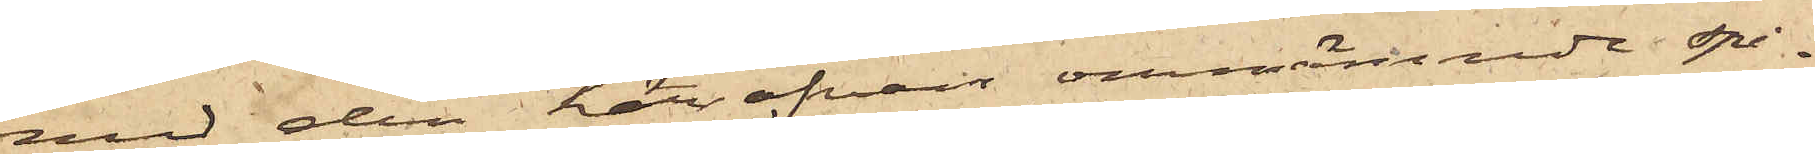med den härofvan omnämnde spi¬
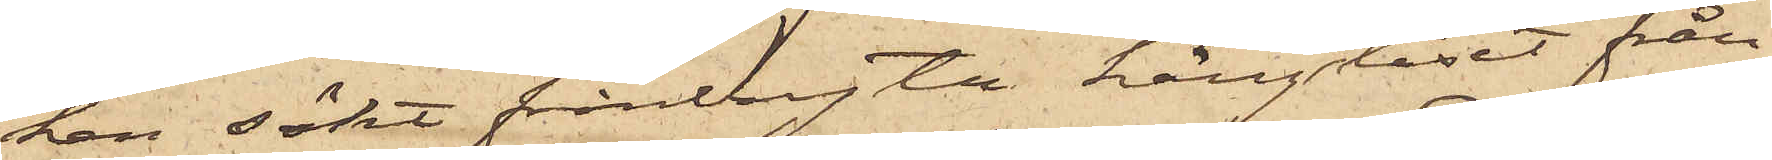ken sökt frånbryta hänglåset från
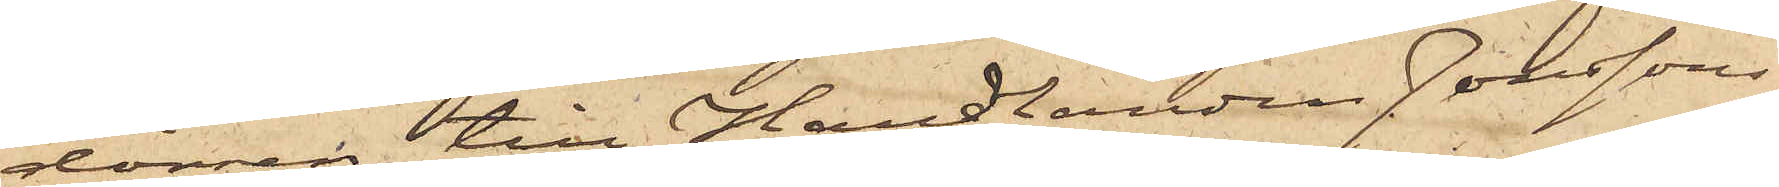dörren till Handlanden Jonssons
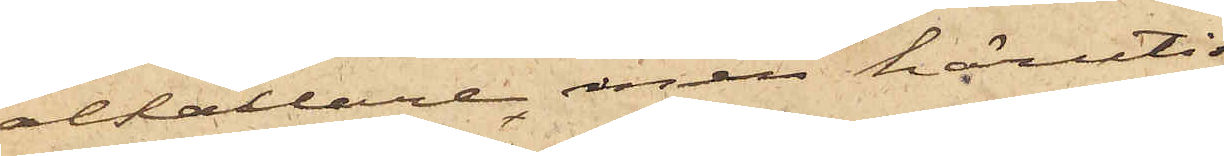ölkällare, men häruti
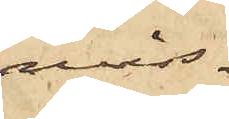miss¬
